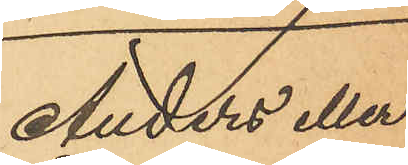Anders eller
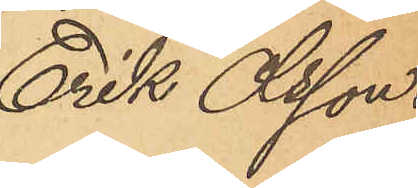Erik Olsson.
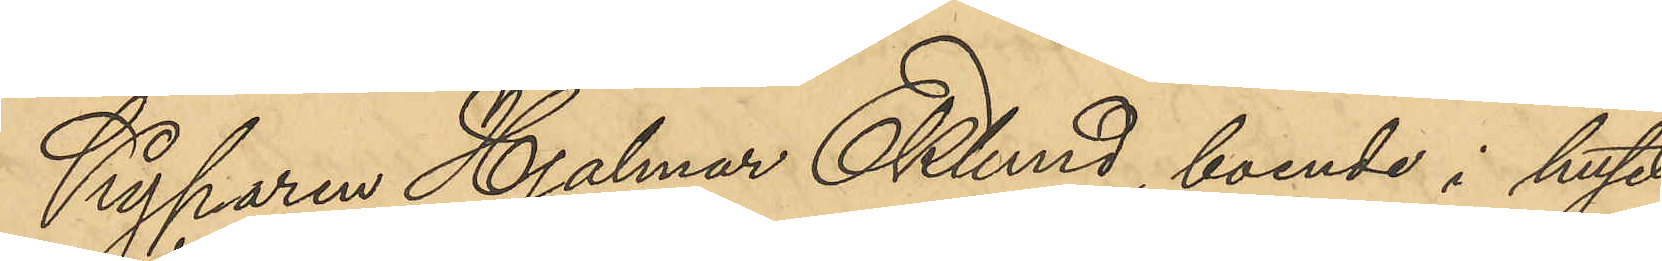Kyparen Hjalmar Eklund, boende i huset
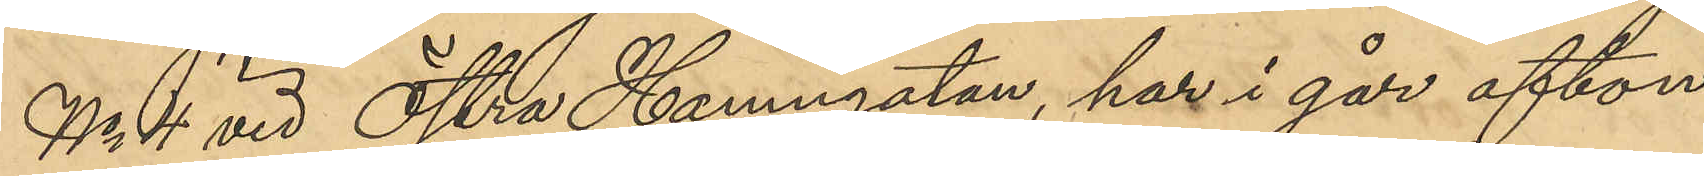No 4 vid Östra Hamngatan, har i går afton
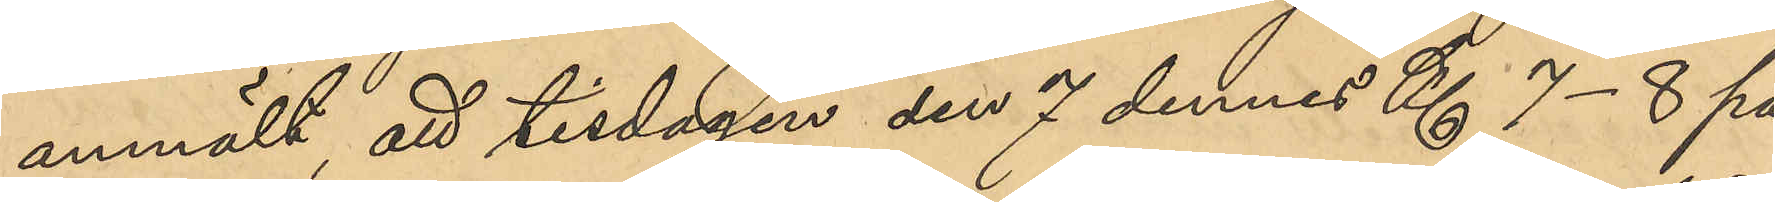anmält, att tisdagen den 7 dennes Kl 7-8 på
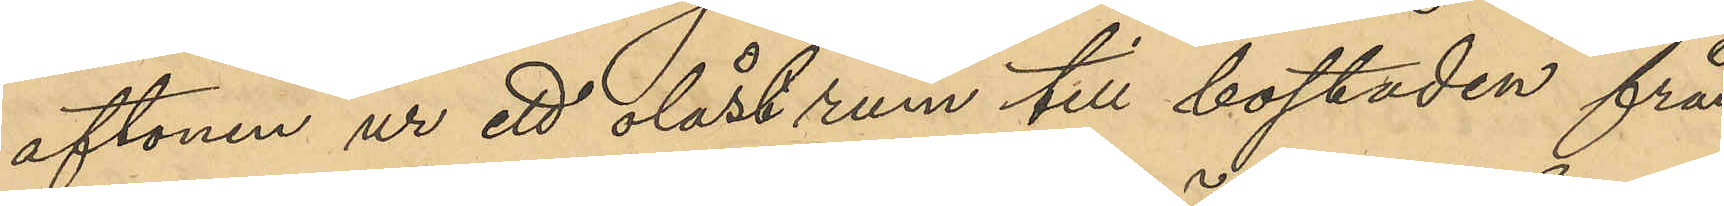aftonen ur ett olåst rum till bostaden från
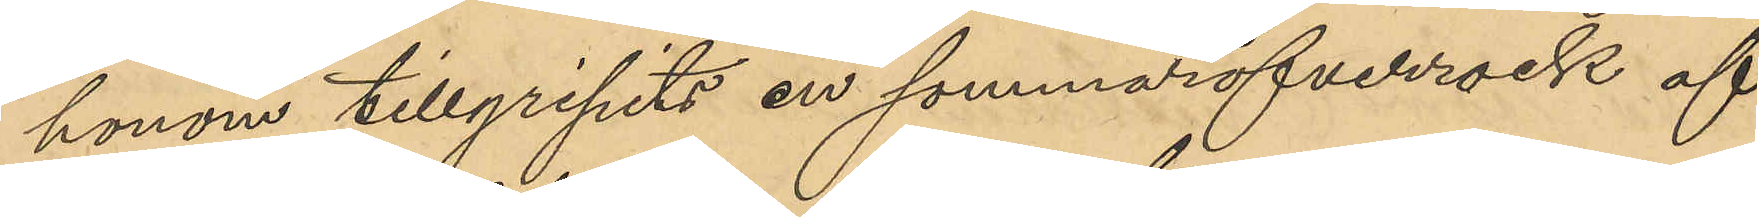honom tillgripits en sommaröfverrock af
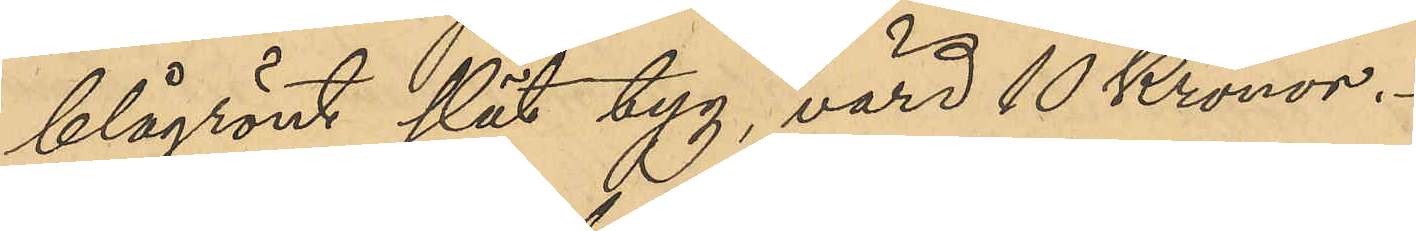blågrönt slät tyg, värd 10 Kronor.
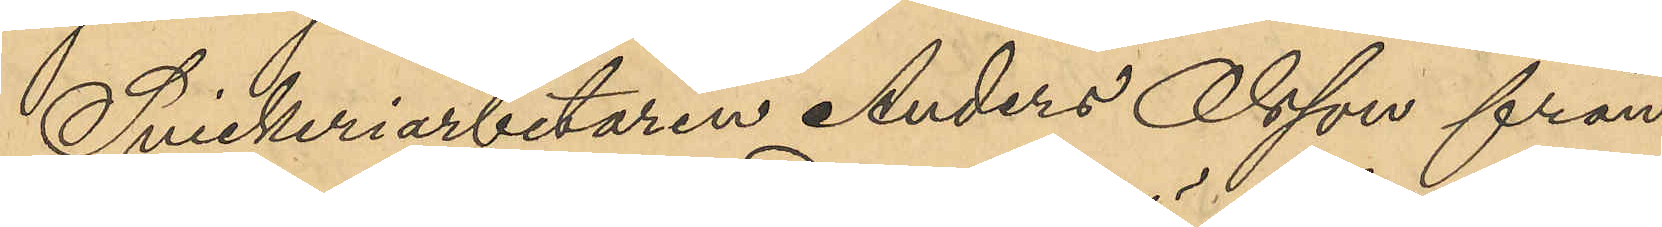Snickeriarbetaren Anders Olsson från
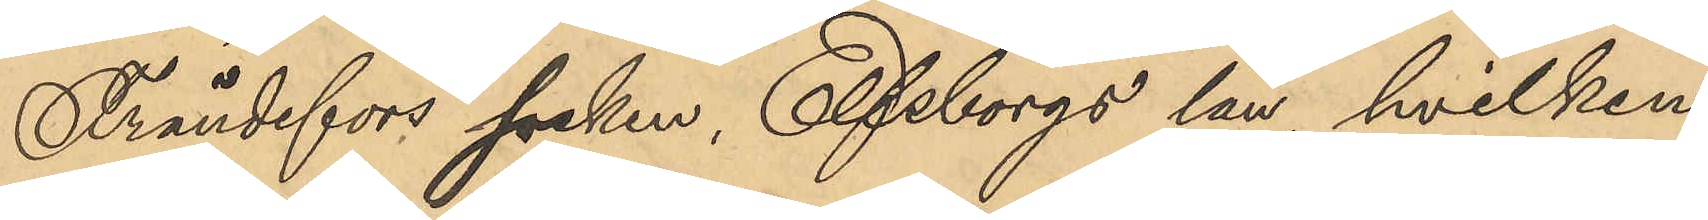Frändefors socken, Elfsborgs län, hvilken
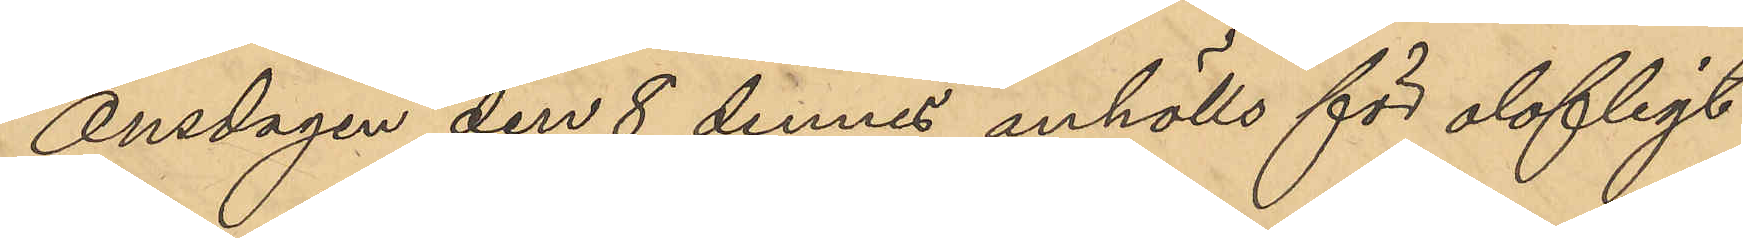onsdagen den 8 dennes anhölls för olofligt
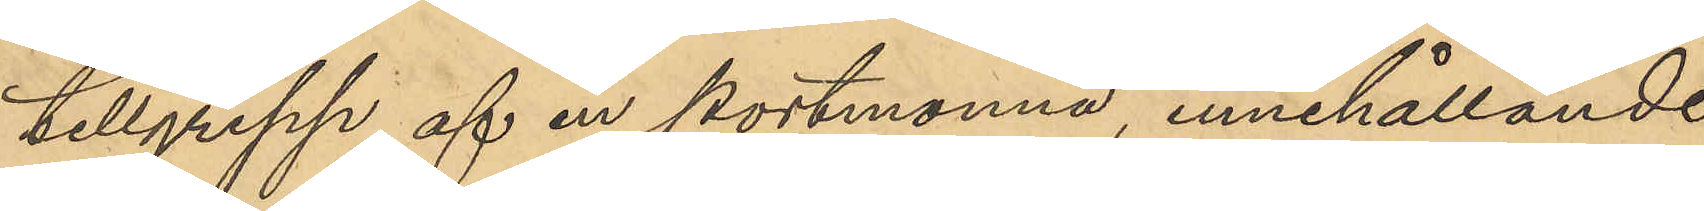tillgrepp af en portmonnä, innehållande
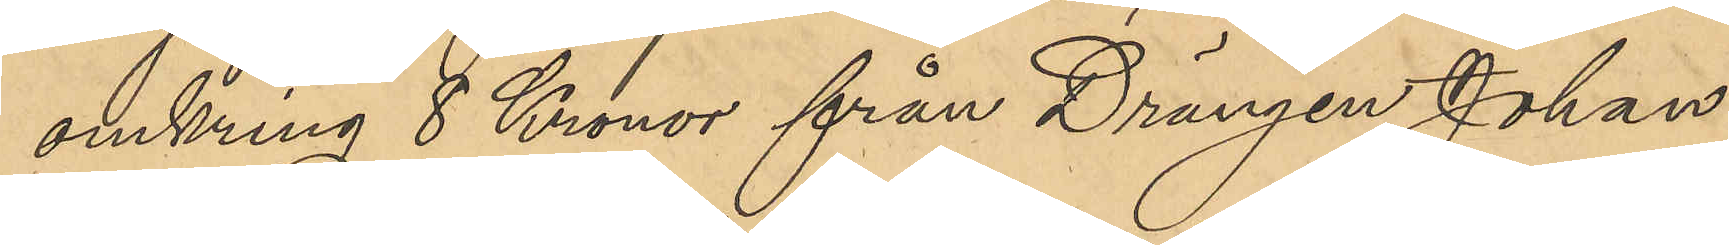omkring 8 Kronor från Drängen Johan
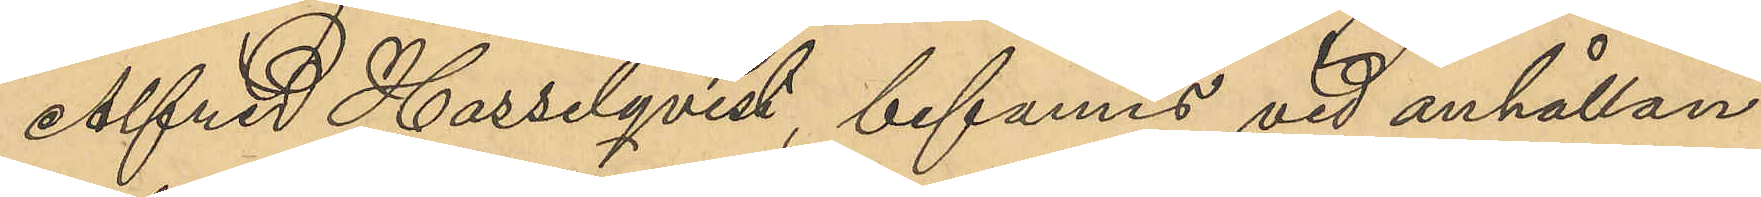Alfred Hasselqvist, befanns vid anhållan¬
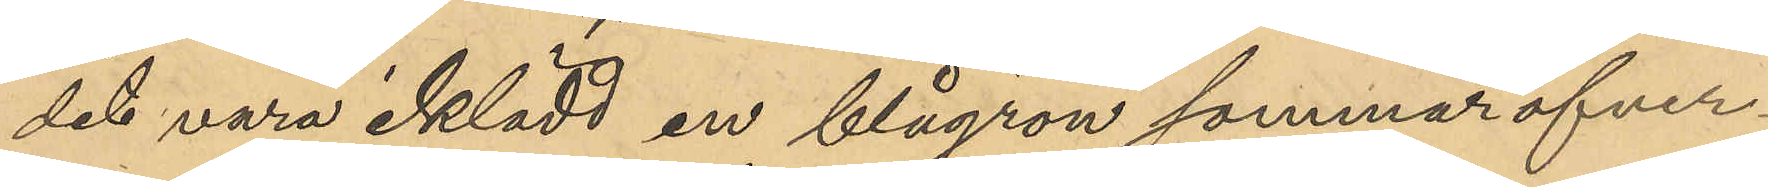det vara iklädd en blågrön sommaröfver¬
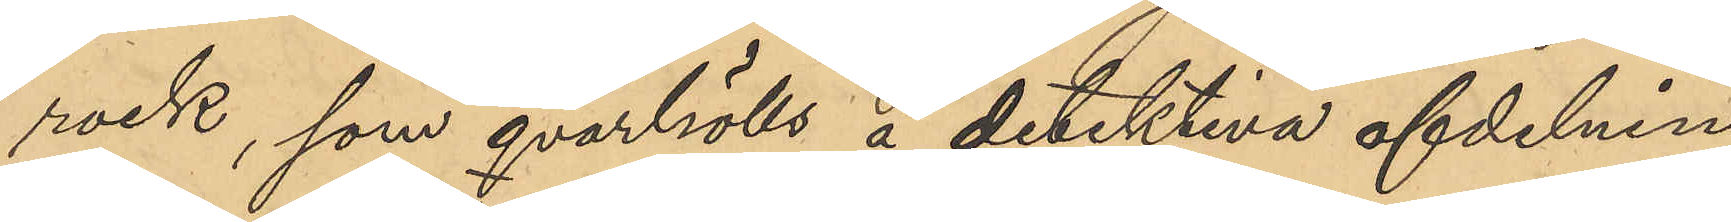rock, som qvarhölls å detektiva afdelnin¬
